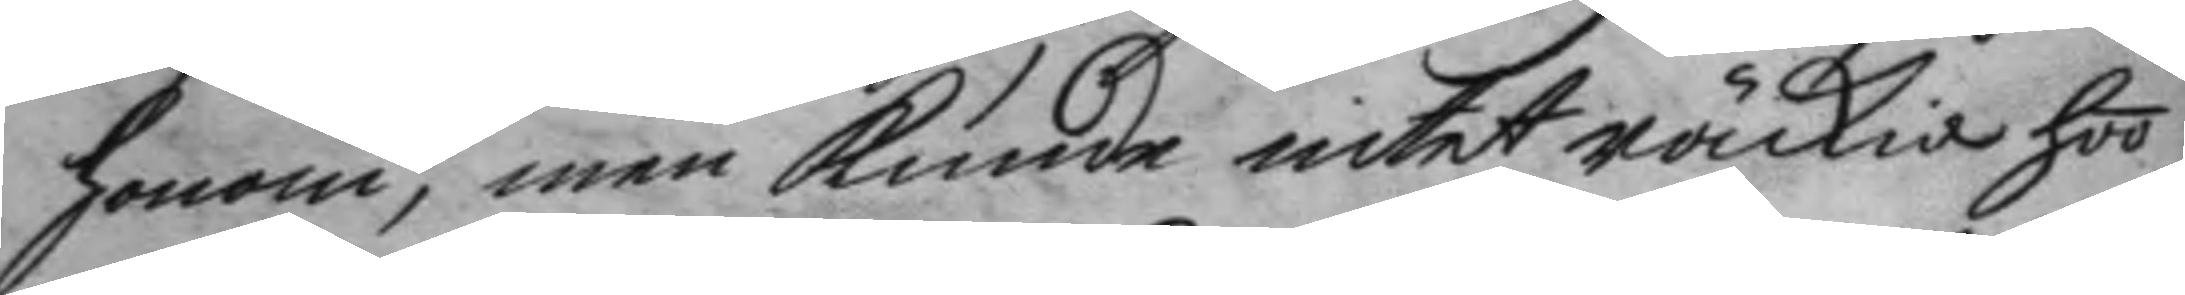honom, men kunde intet räckia hoo
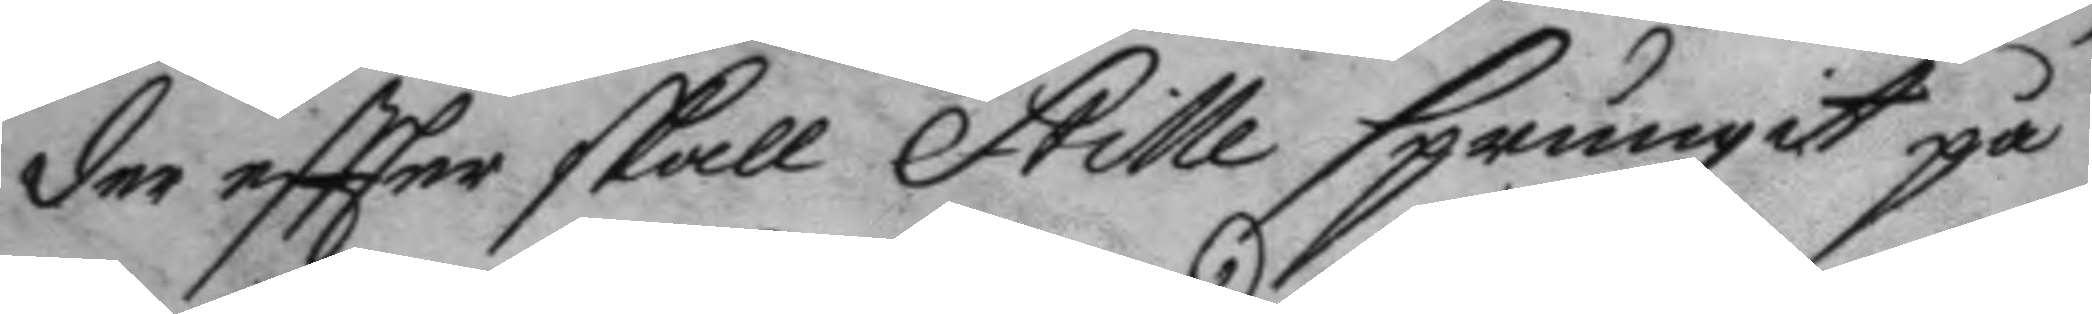der eftter skall Stille sprungit på
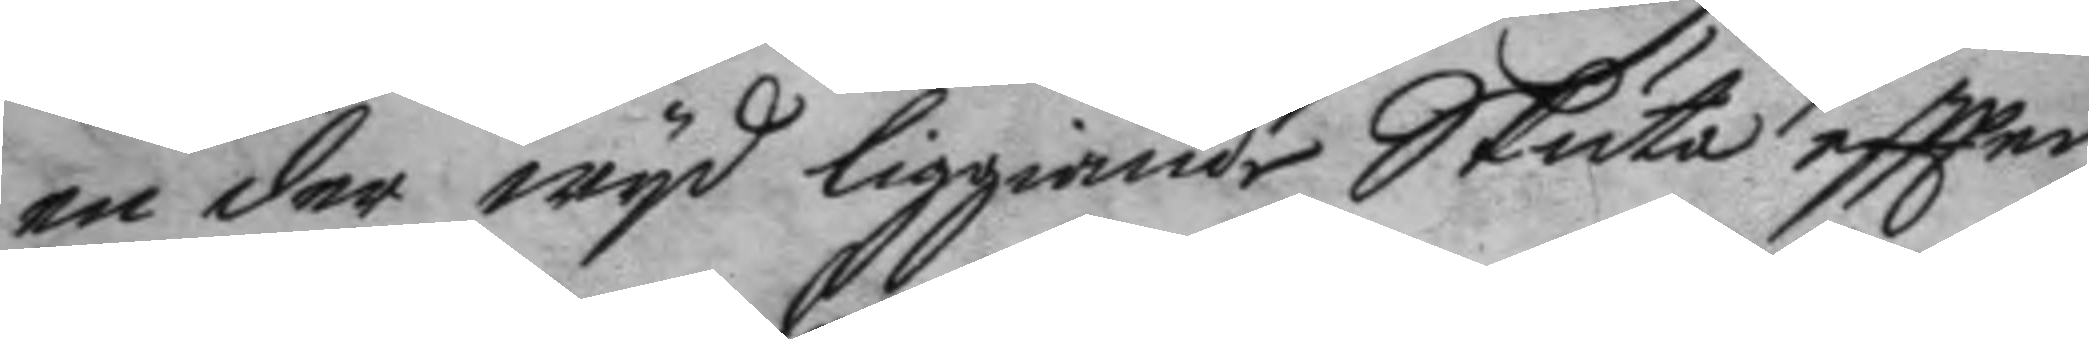en der wyd liggiande Skuta eftter
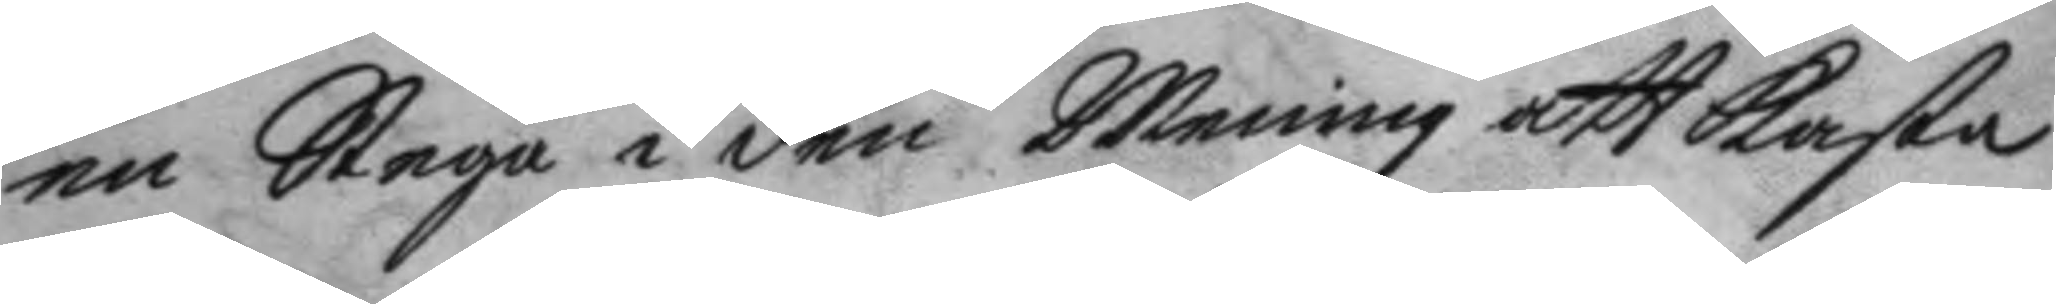en stege i den Mening att kasta
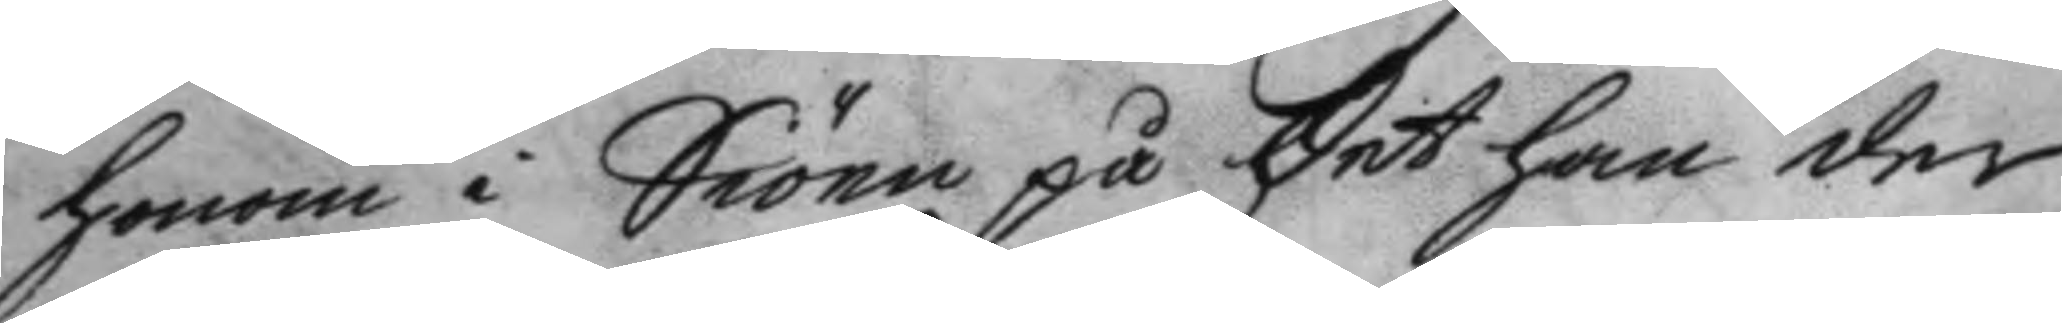honom i Siöen på det han det
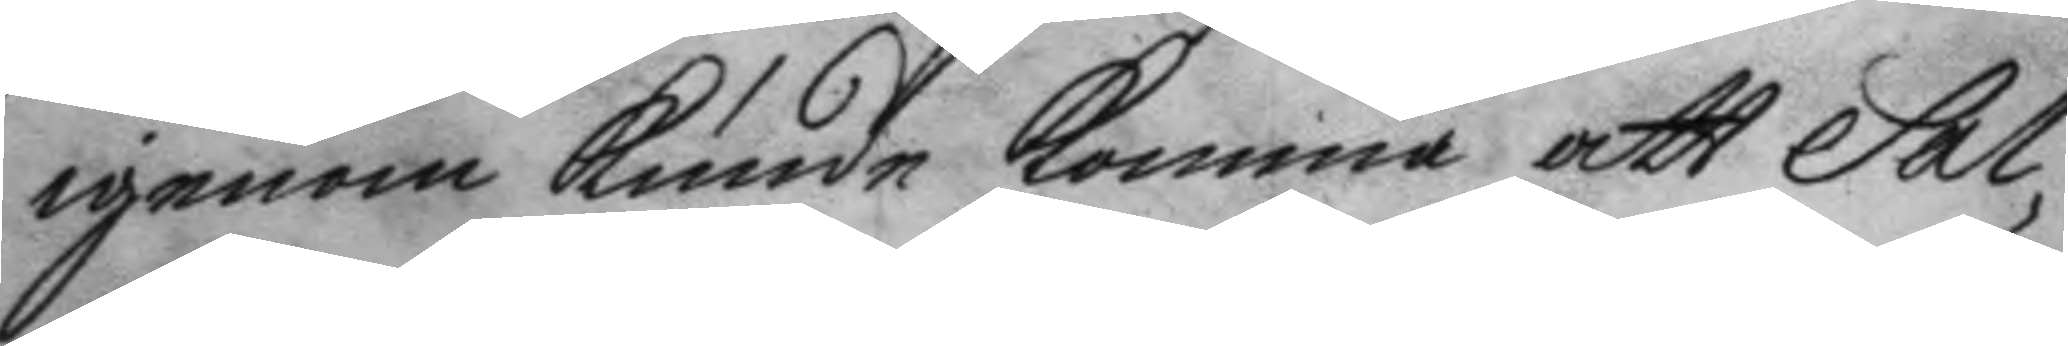igenom kunde komma att Sal¬
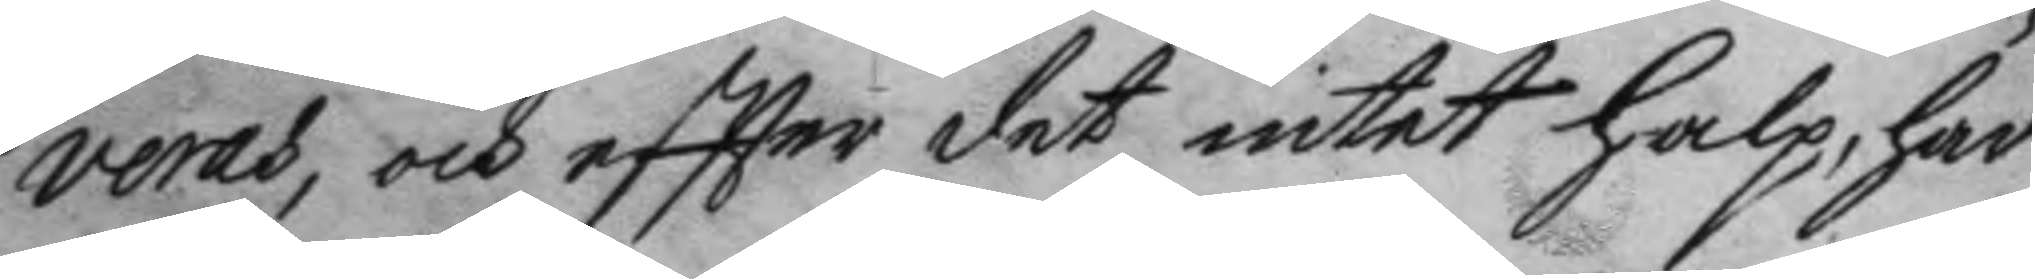veras, och eftter det intet halp, har
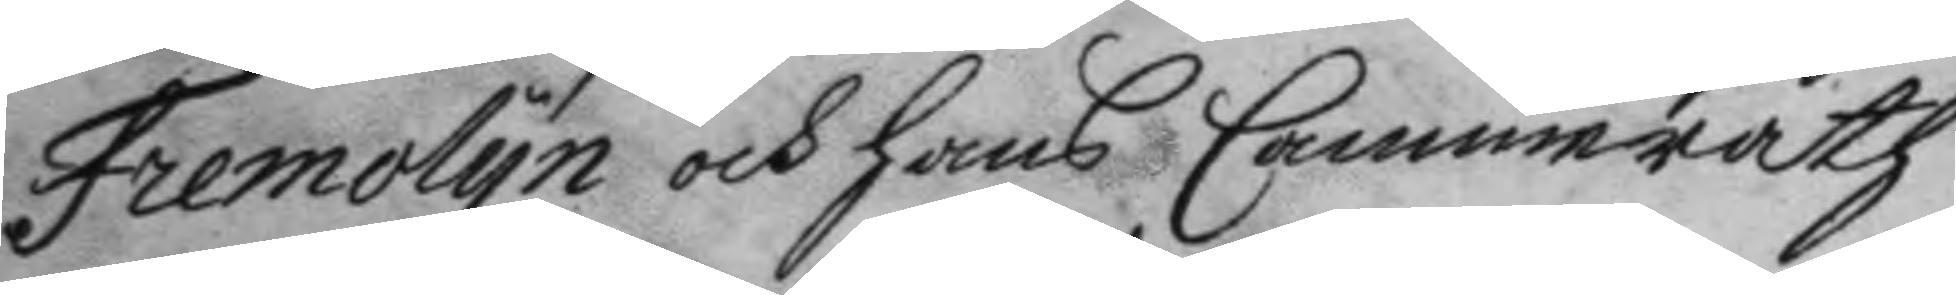Fremolyn och hans Cammerath
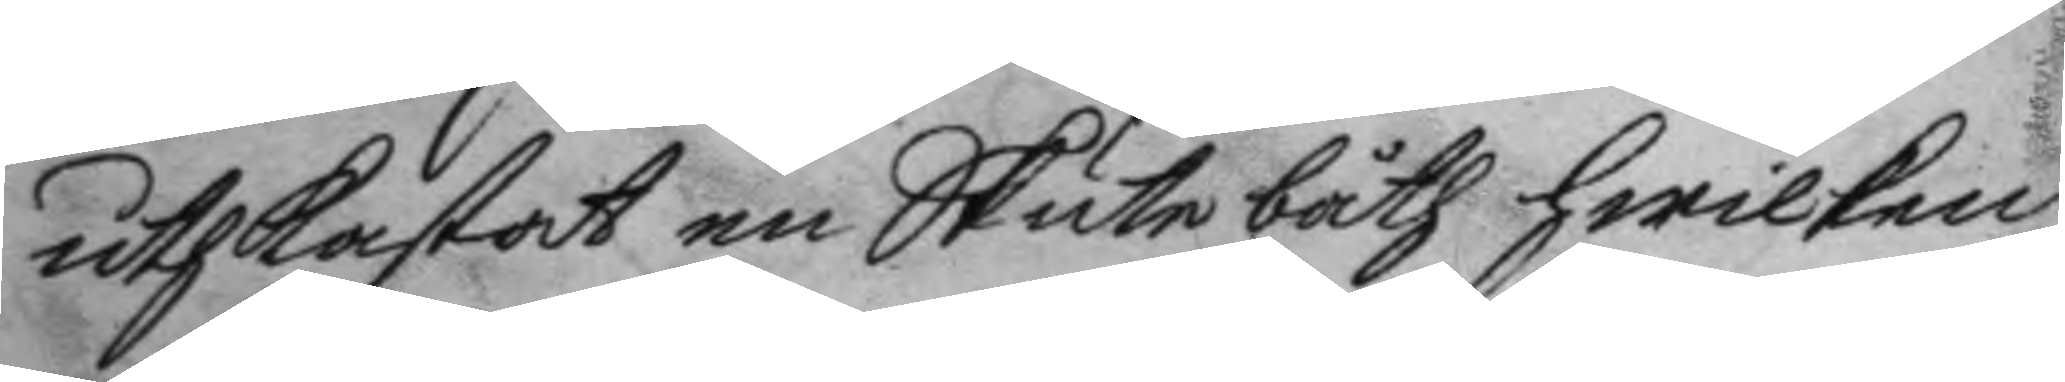uthkastat en Skutebåth hwilken
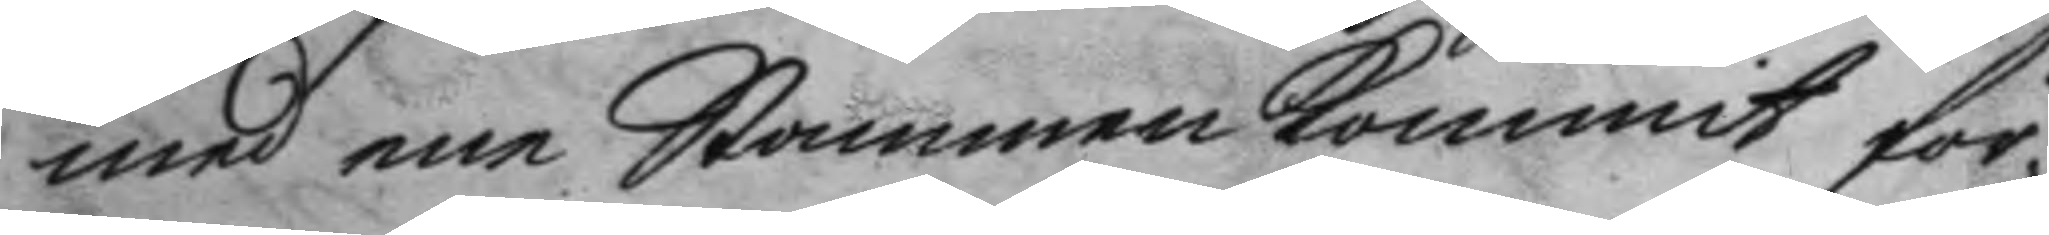med ene Skoneren kommit för
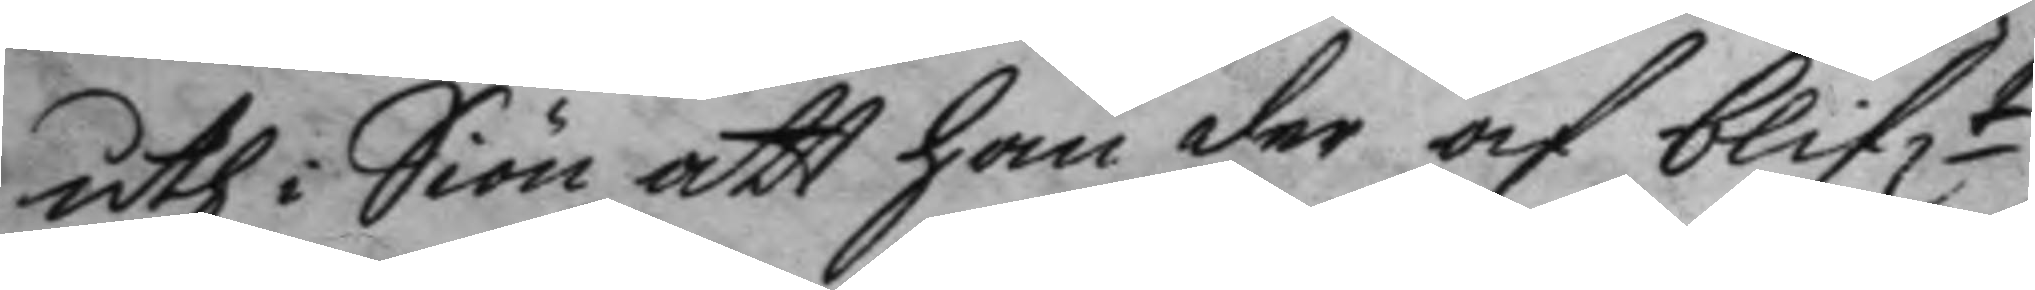uth i Siön att han der och blift
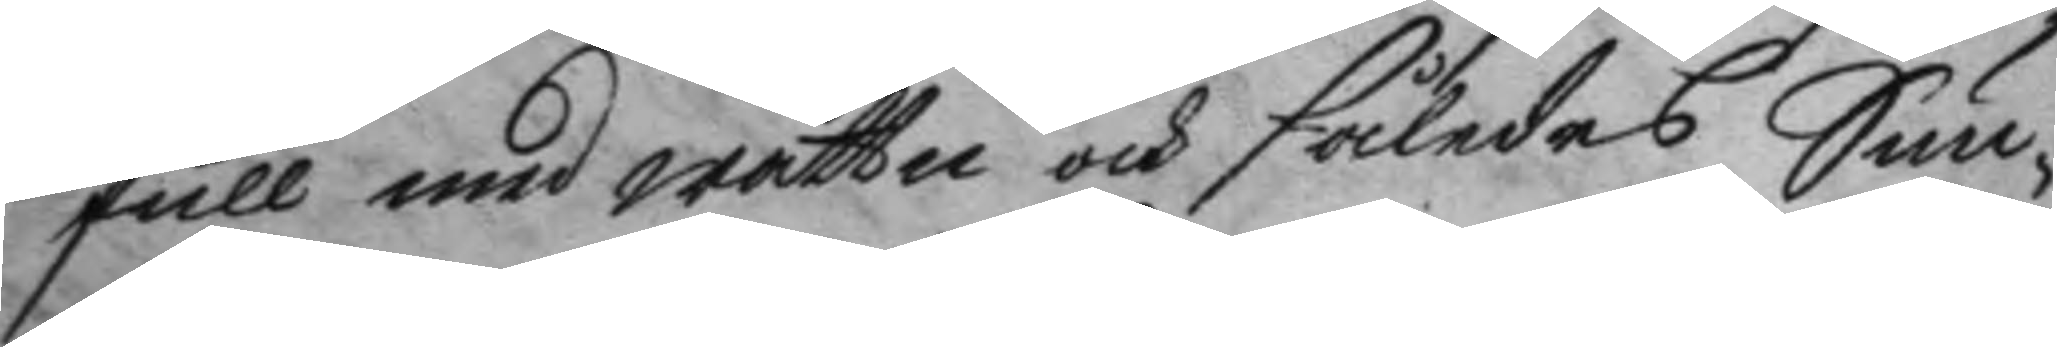full med wattn och således Sun¬
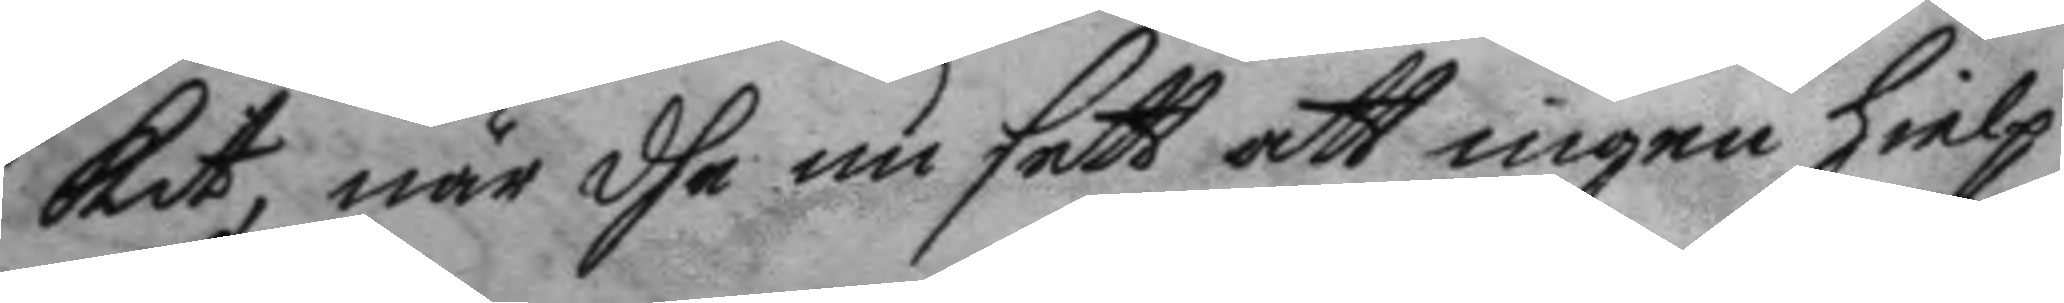kit, när dhe nu sett att ingen hielp
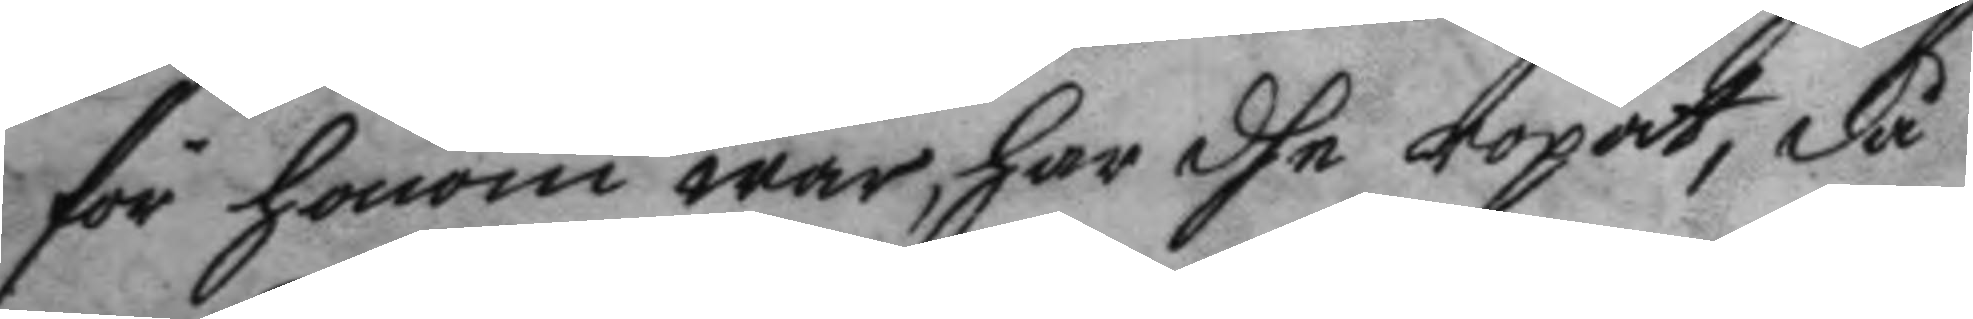för honom war, har dhe ropat, då
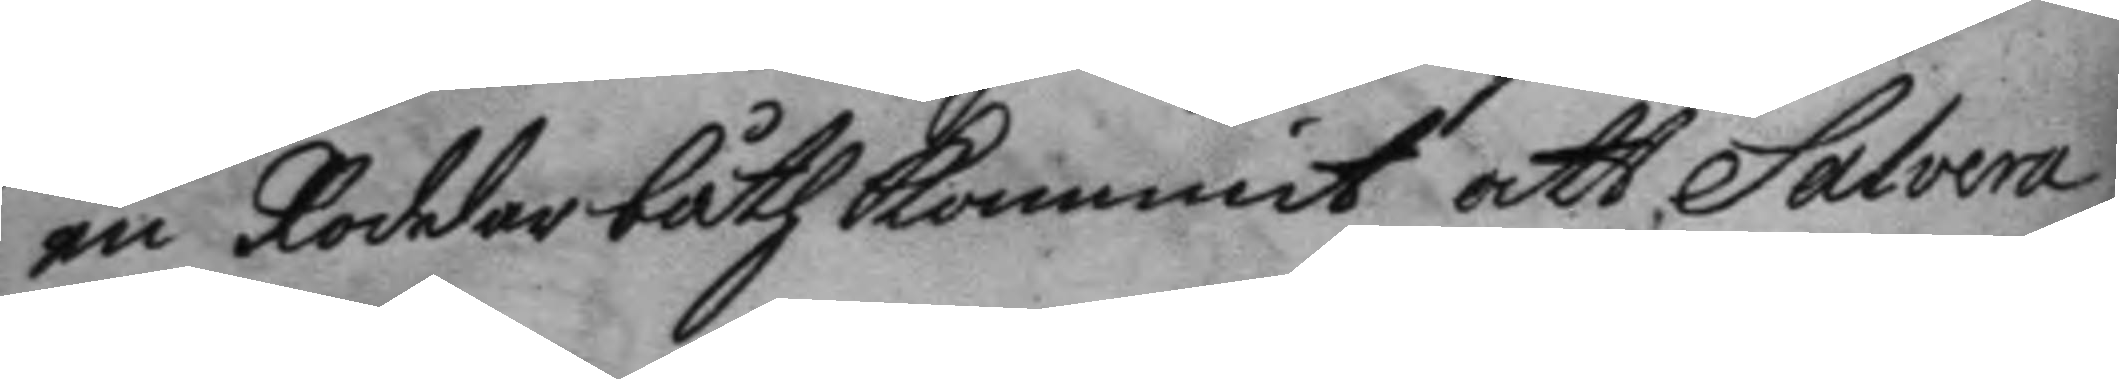en Roddarbåth kommit att Salvera
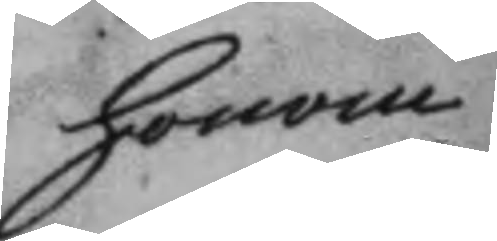honom
